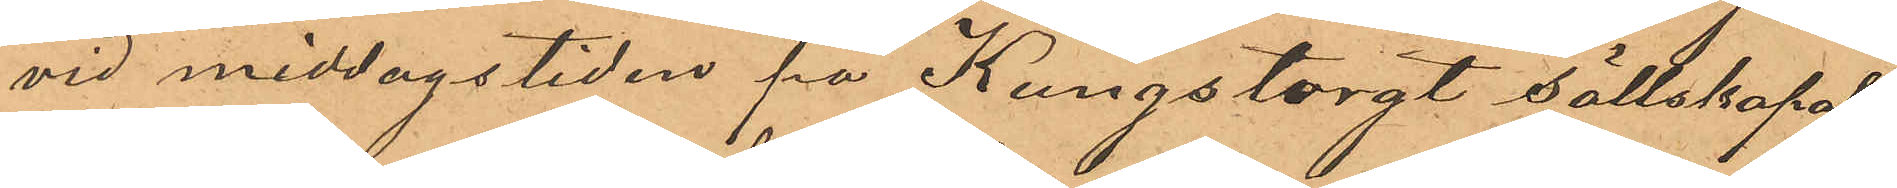vid middagstiden på Kungstorgt sällskapat
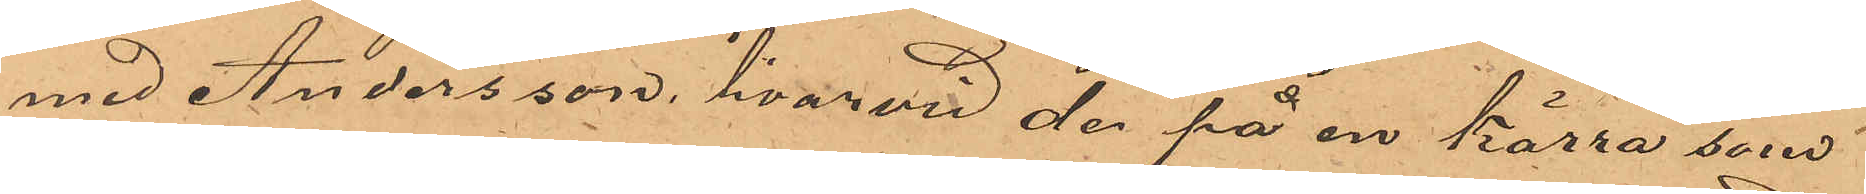med Andersson, hvarvid der på en kärra, som
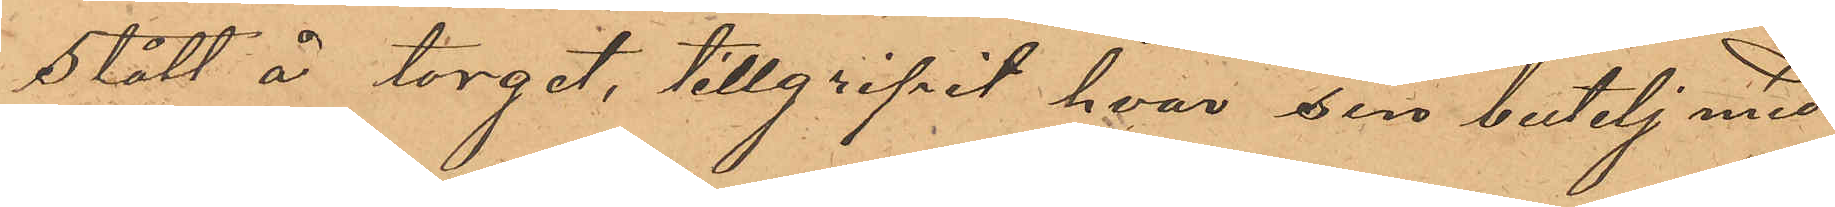stått å torget, tillgripit hvar sin butelj med
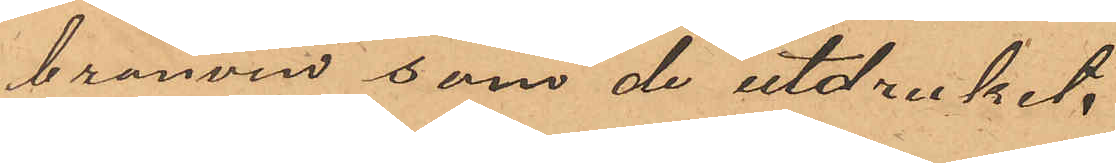brännvin, som de utdruckit.
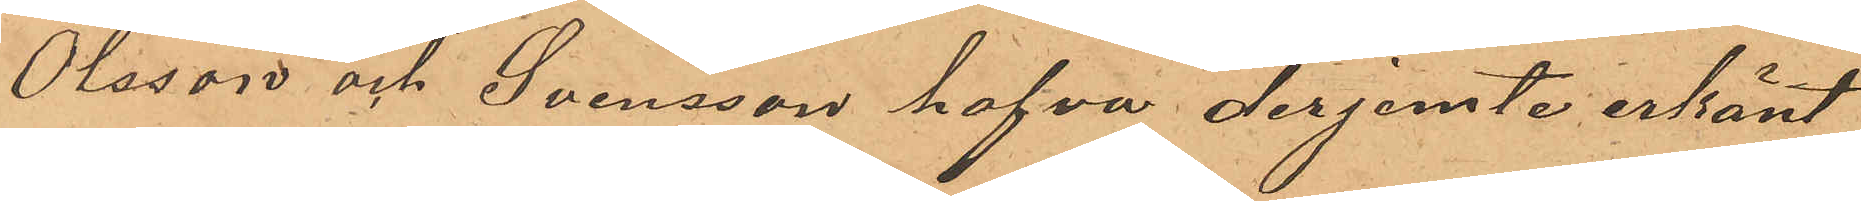Olsson och Svensson hafva derjemte erkänt
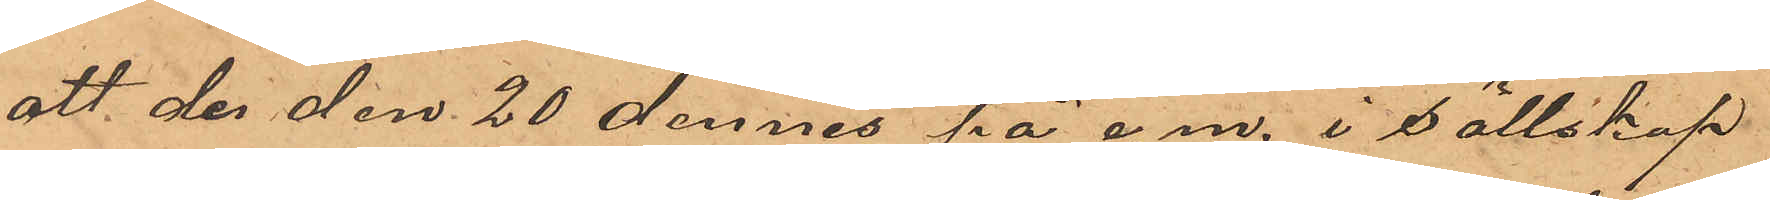att der den 20 dennes på e.m. i sällskap
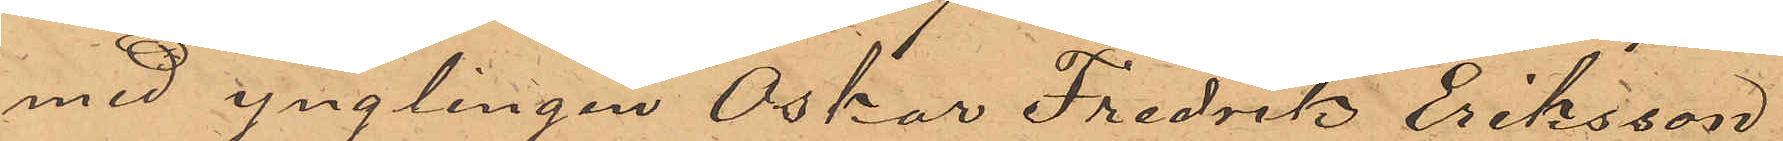med ynglingen Oskar Fredrik Eriksson
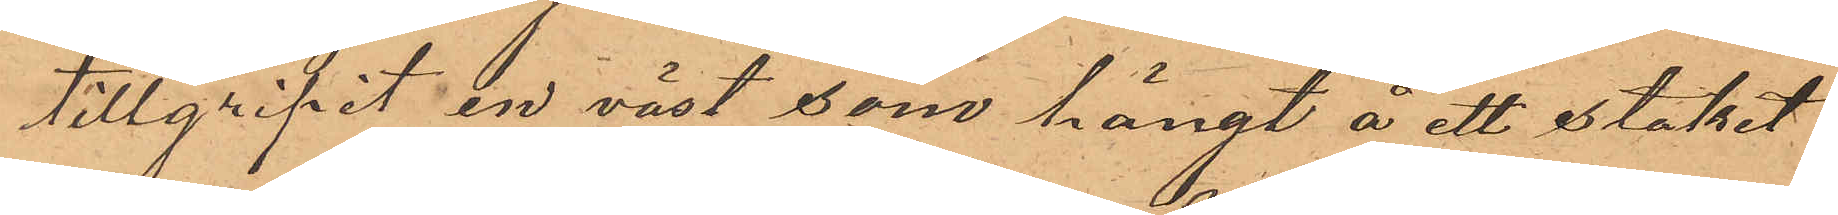tillgripit en väst, som hängt å ett staket
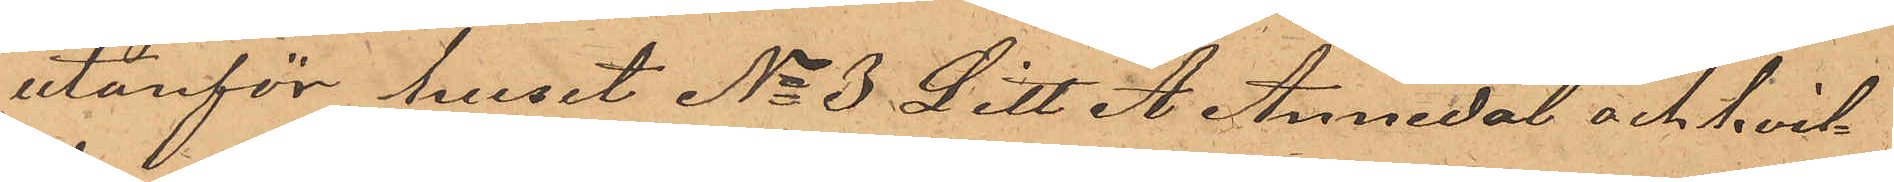utanför huset No 3 Litt. A. Annedal och hvil¬
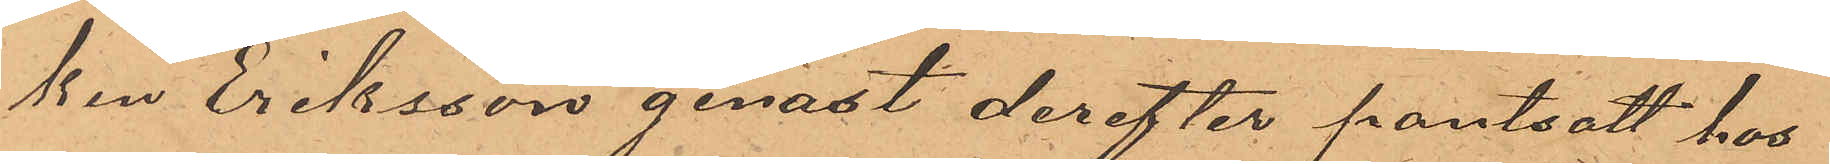ken Eriksson genast derefter pantsatt hos
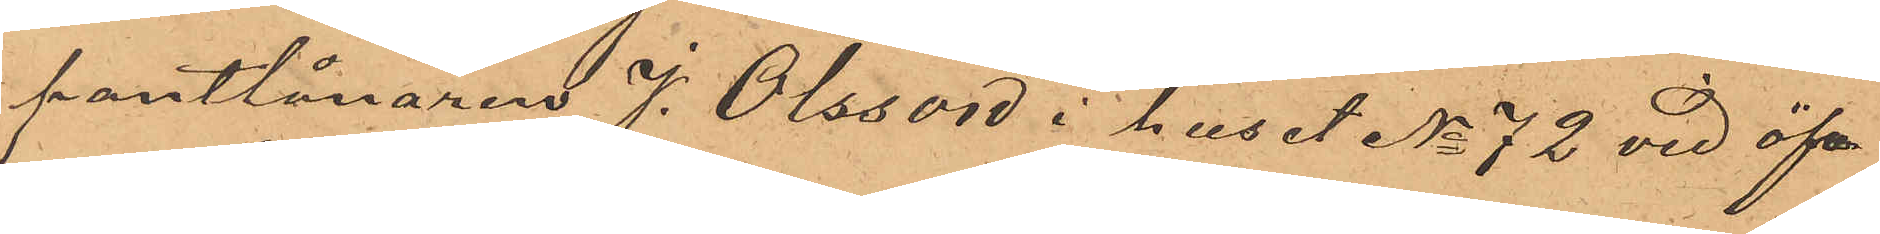pantlånaren J. Olsson i huset No 72 vid öf¬
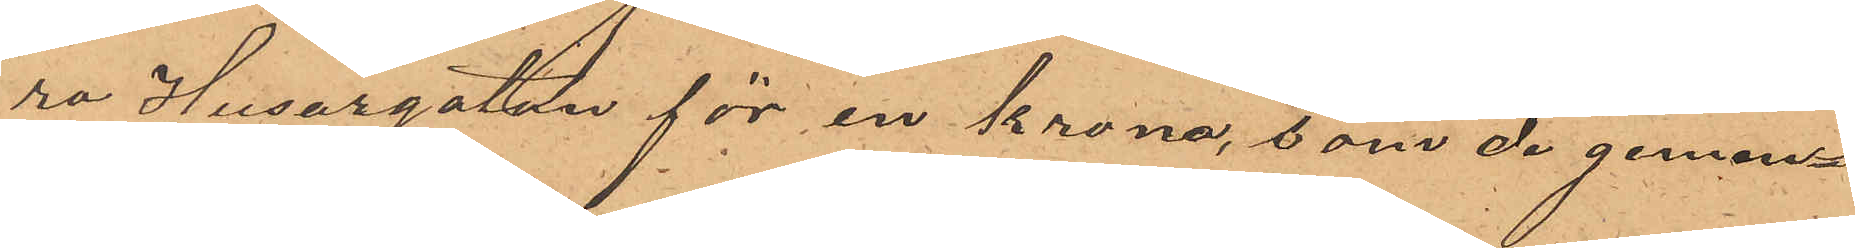ra Husargatan för en krona, som de gemen¬
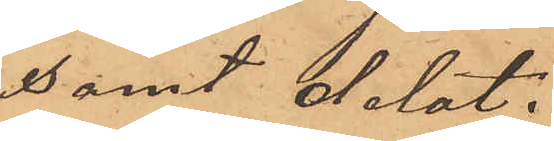samt delat;
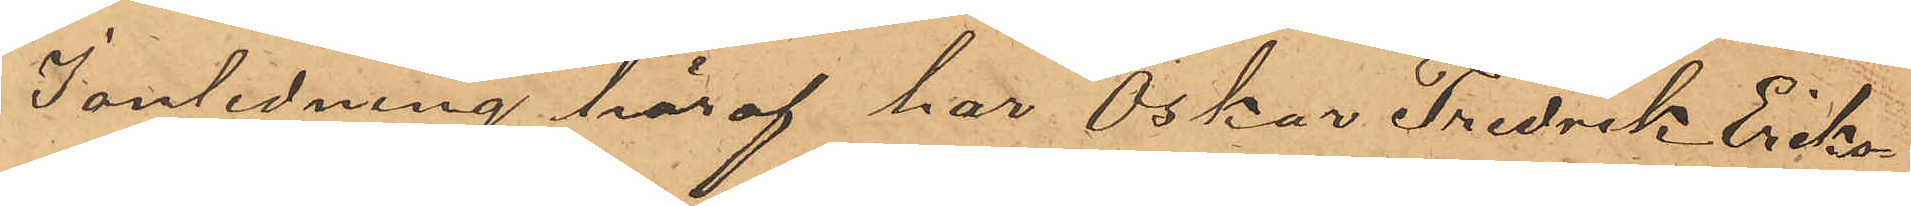I anledning häraf har Oskar Fredrik Eriks¬
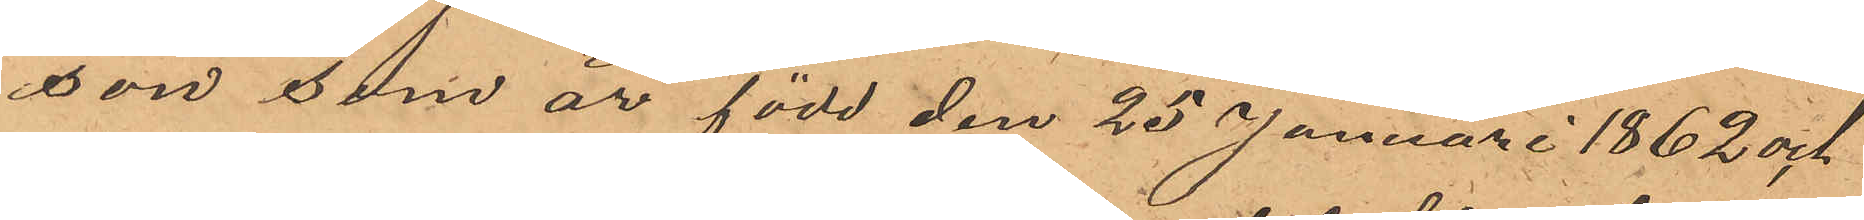son som är född den 25 Januari 1862 och
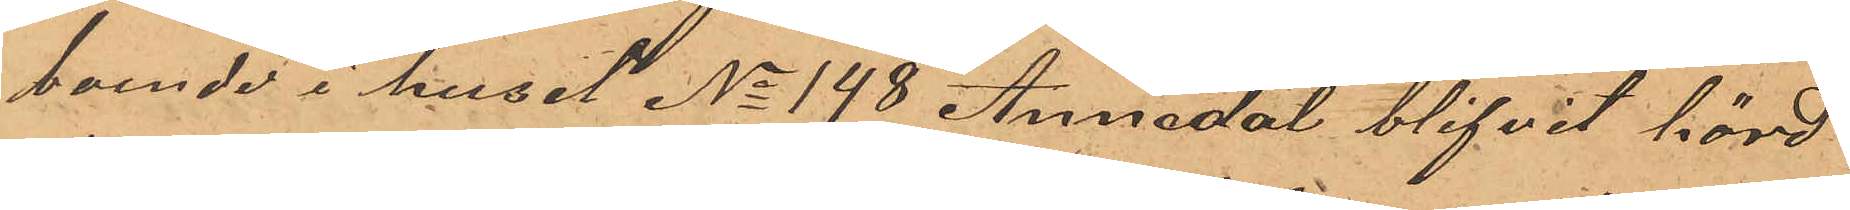boende i huset No 148 Annedal blifvit hörd
